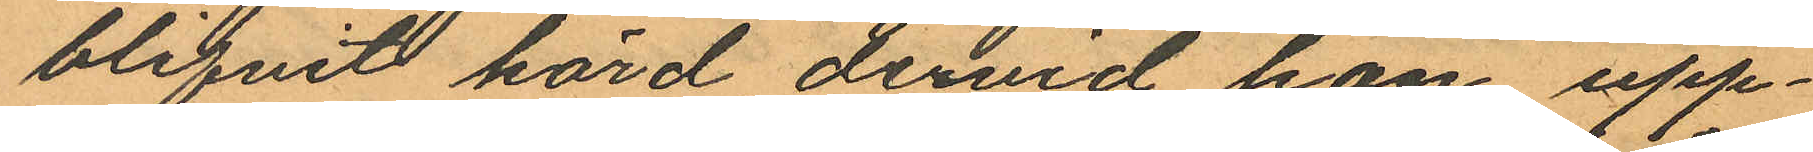blifvit hörd dervid hon upp¬
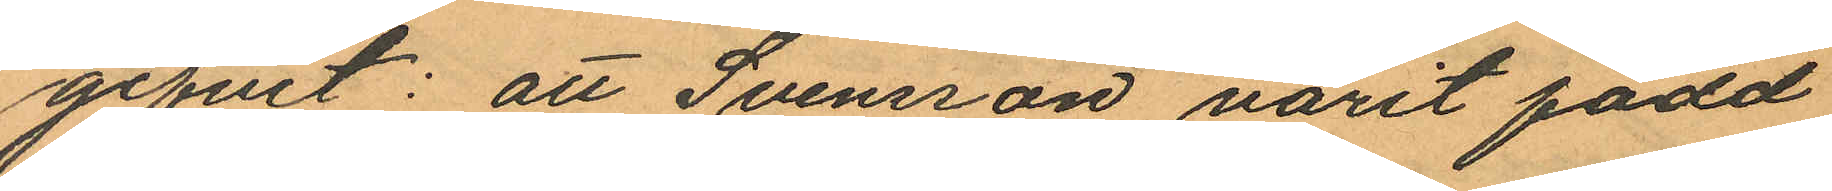gifvit: att Svensson varit född
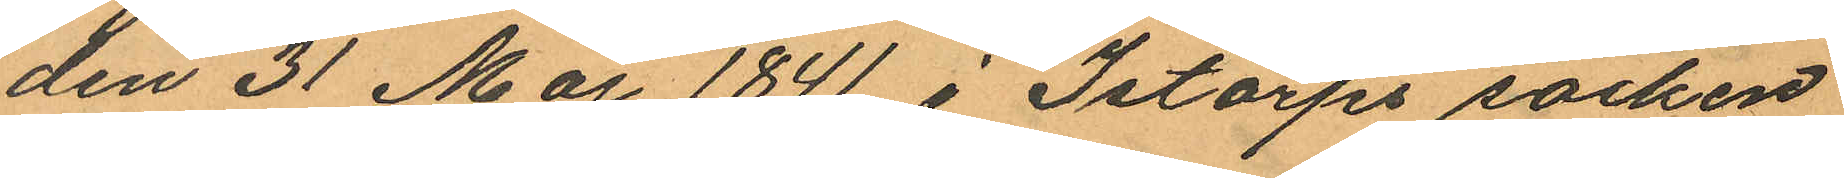den 31 Maj 1841 i Istorps socken
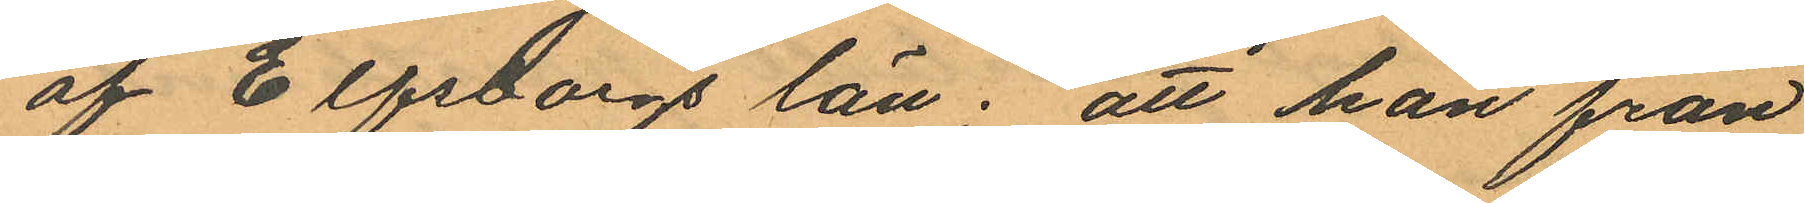af Elfsborgs län; att han från
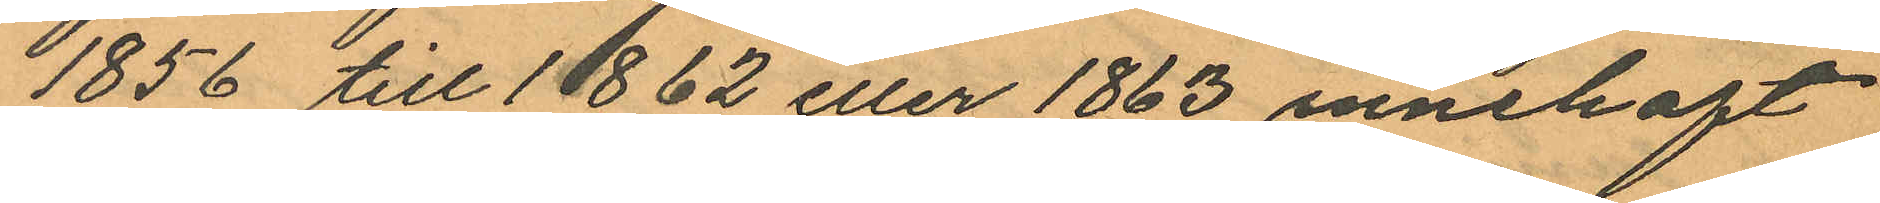1856 till 1862 eller 1863 innehaft
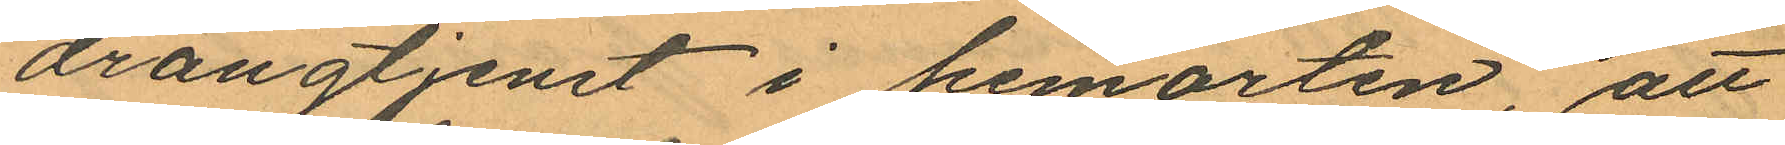drängtjenst i hemorten, att
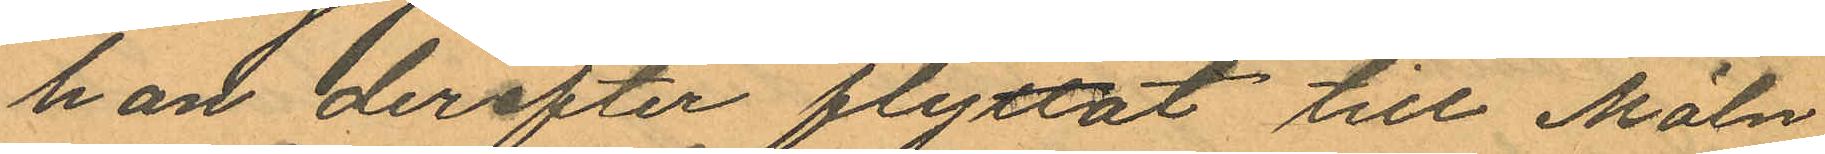han derefter flyttat till Möln¬
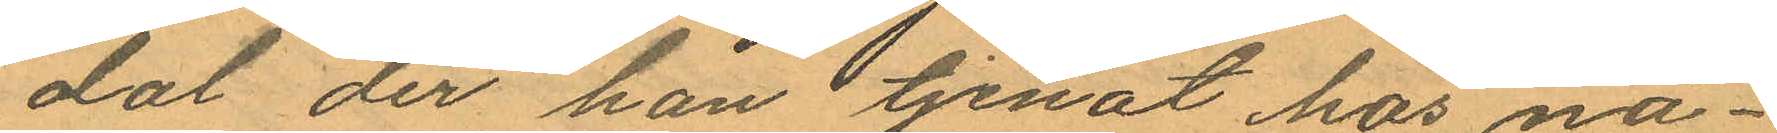dal der han tjenat hos nå¬
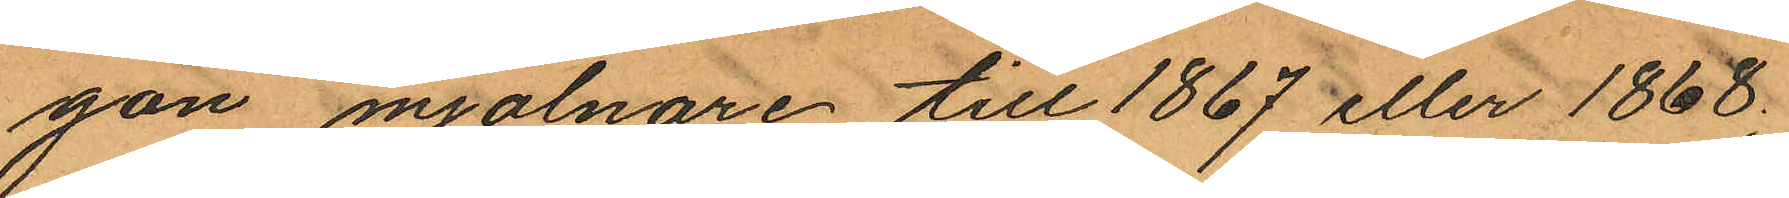gon mjölnare till 1867 eller 1868;
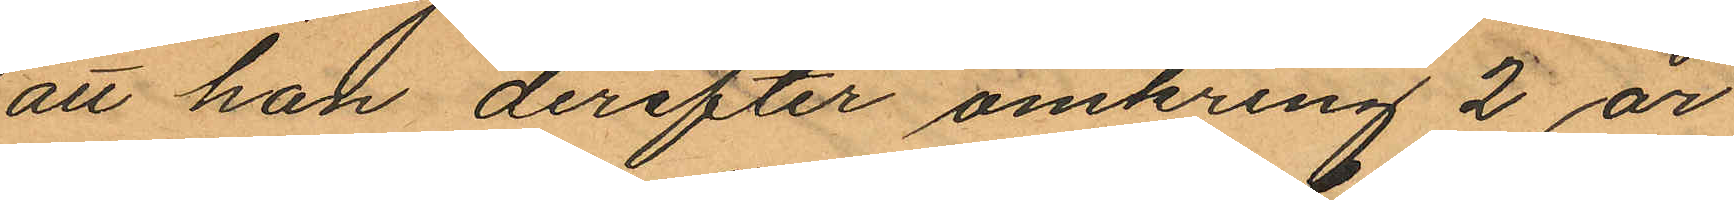att han derefter omkring 2 år
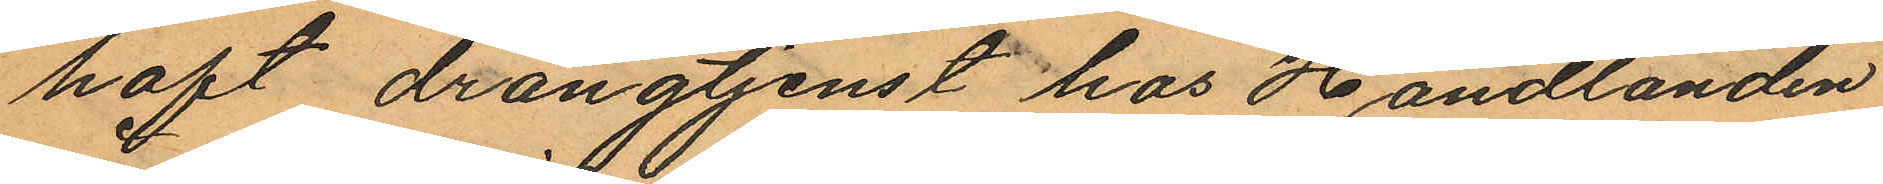haft drängtjenst hos Handlanden
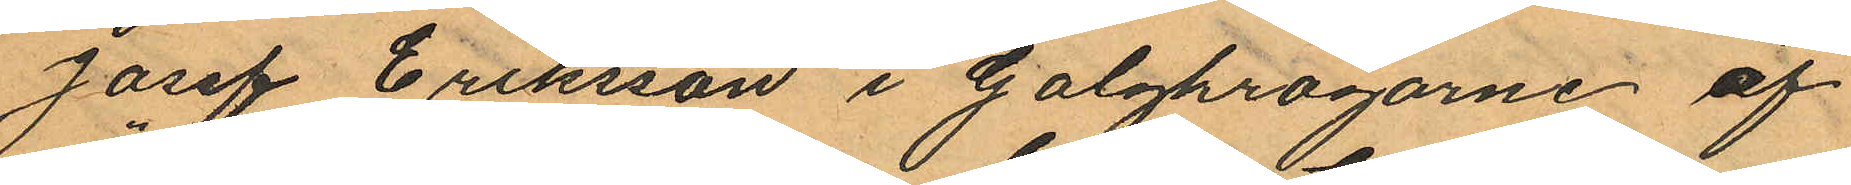Josef Eriksson i Galgkrogarne af
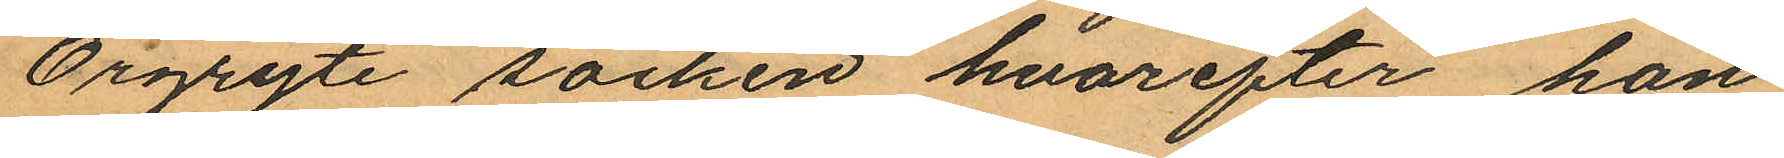Örgryte socken hvarefter han
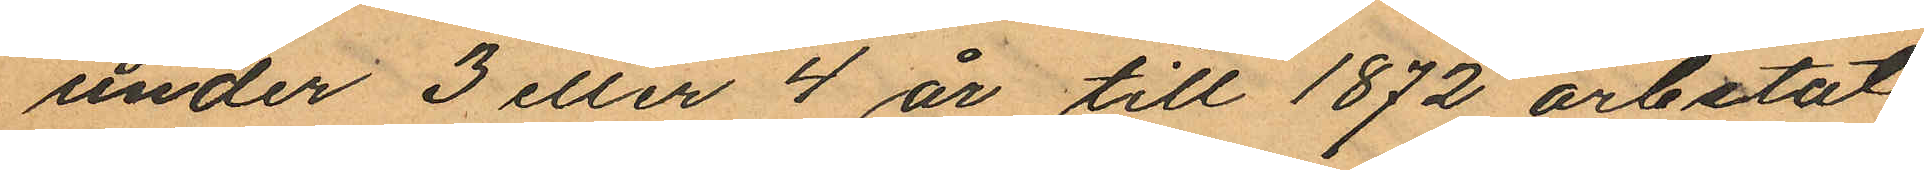under 3 eller 4 år till 1872 arbetat
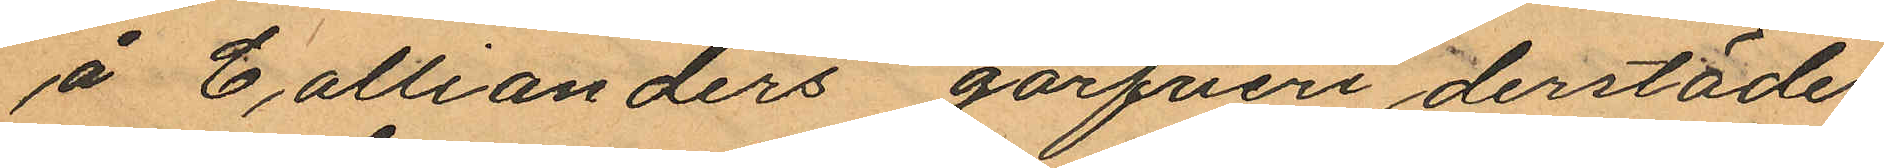å Collianders garfveri derstädes;
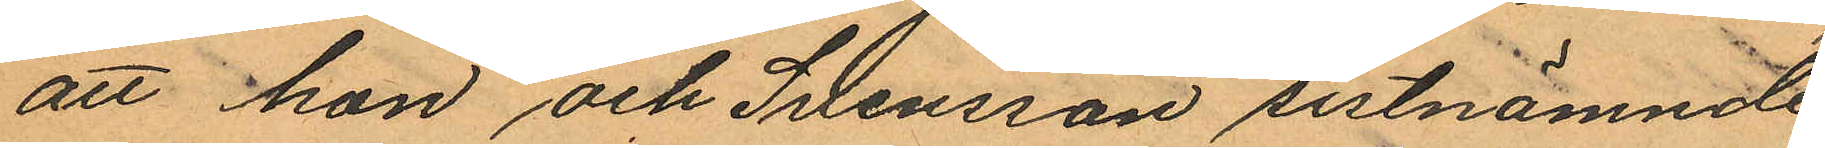att hon och Svensson sistnämnde
